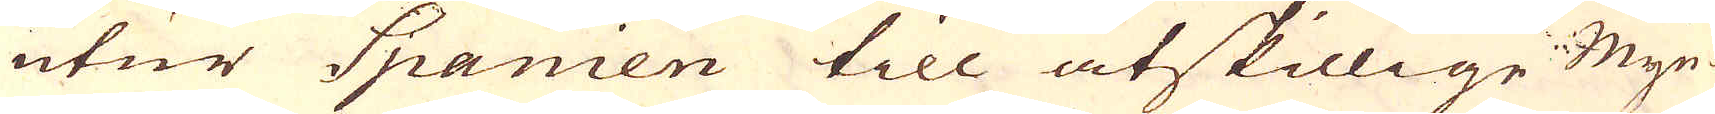utur Spanien till åtskillige Myn-
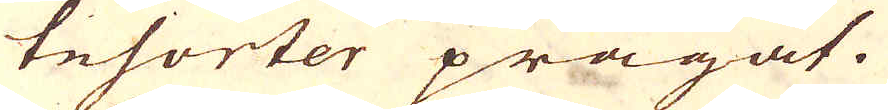tesorter prägat.
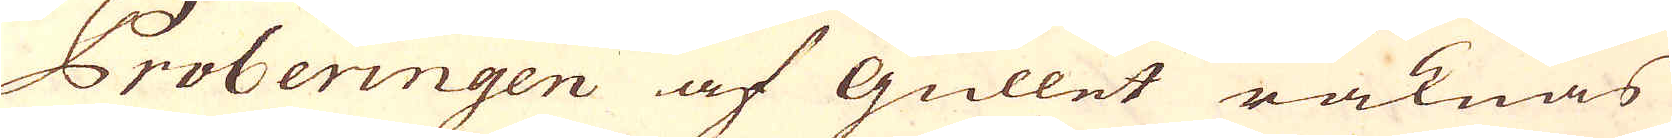Proberingen af gullet räknas
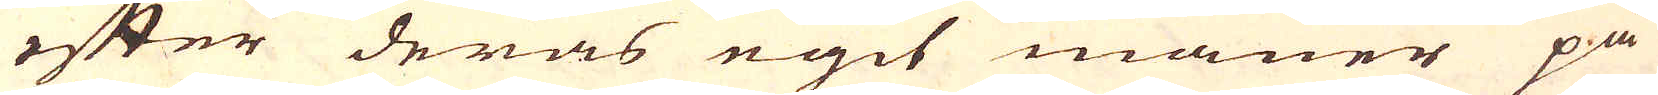efter deras egit maner på
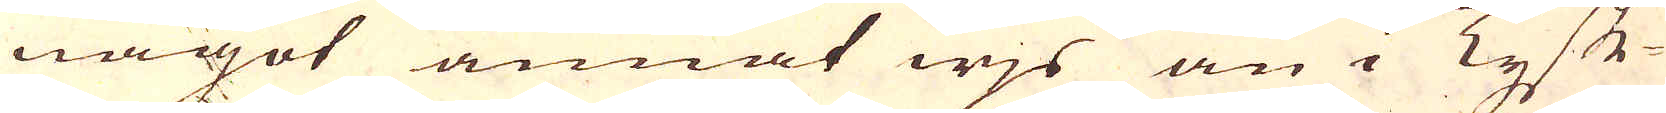något annat wjs än i Tysk-
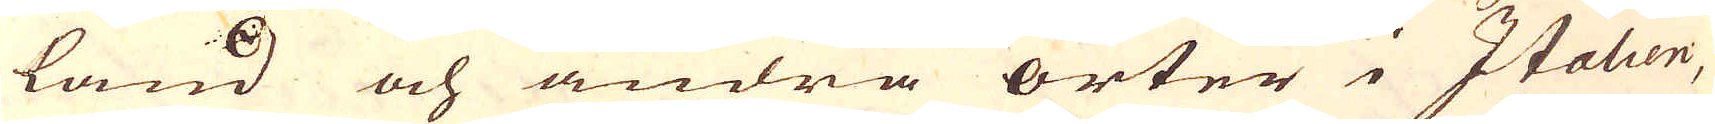land och andra orter i Italien,
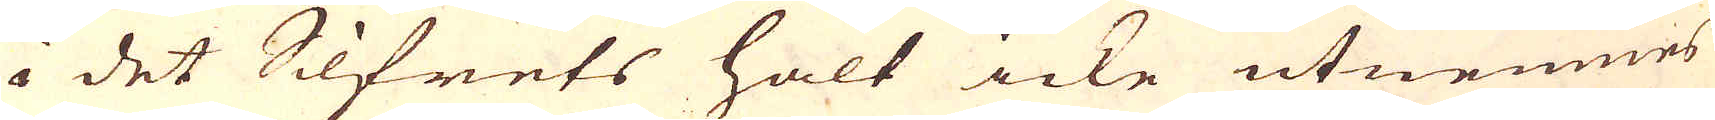i det Silfrets halt icke utnemnes
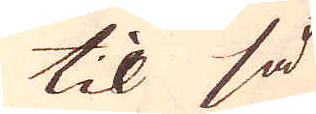til så
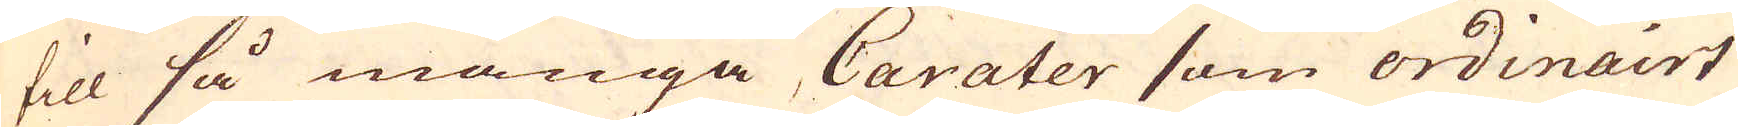till så många Carater som ordinairt
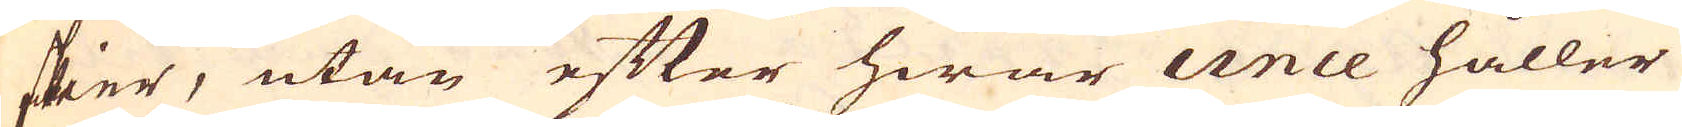skier, utan efter hwar unce håller
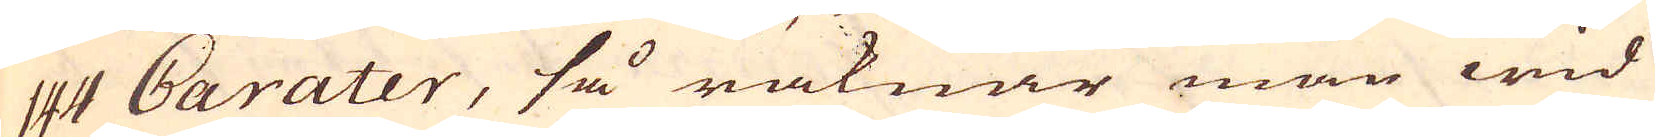144 Carater, så räknar man wid
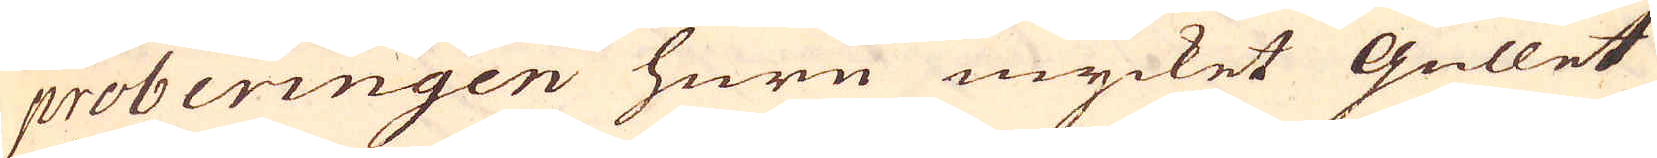proberingen huru mycket gullet
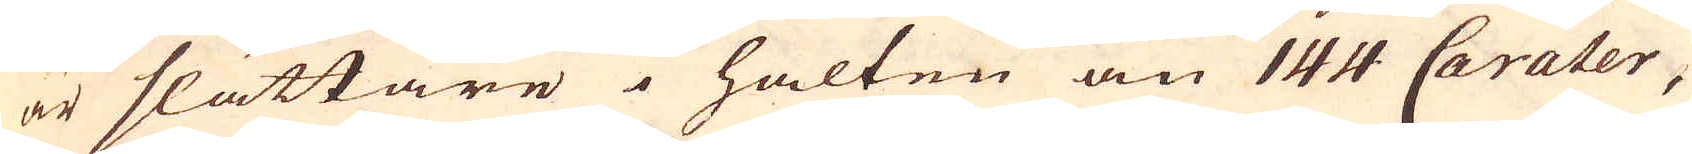är slättare i halten än 144 Carater,
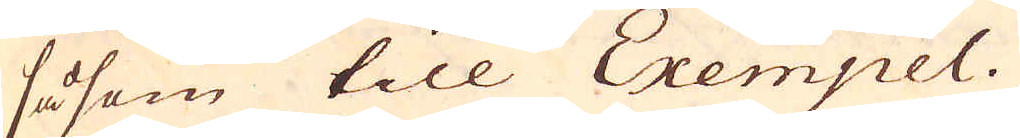såsom till Exempel.
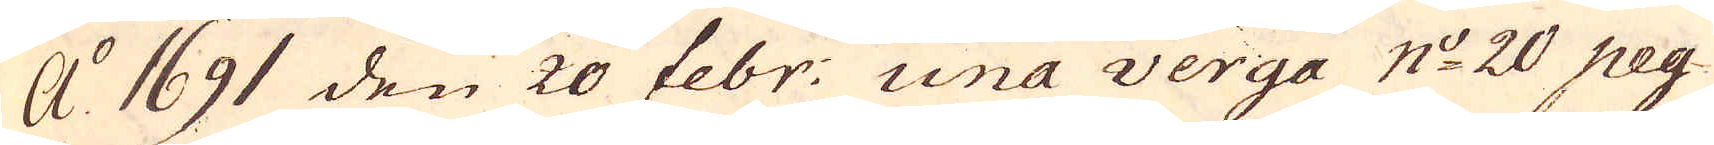A:o 1691 den 20 febr: una verga n:o 20 peg-
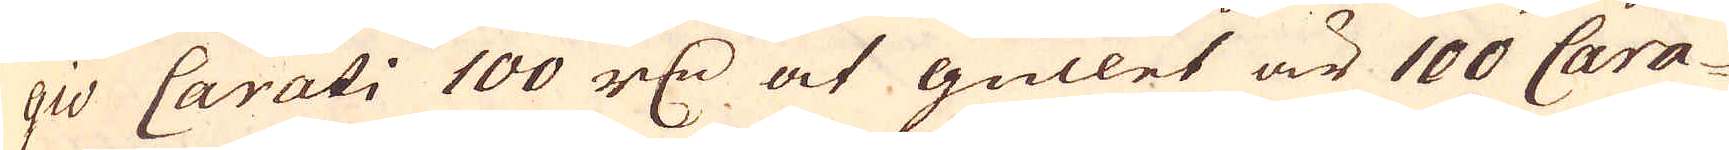gio Carati 100 r:dr at gullet är 100 Cara-
